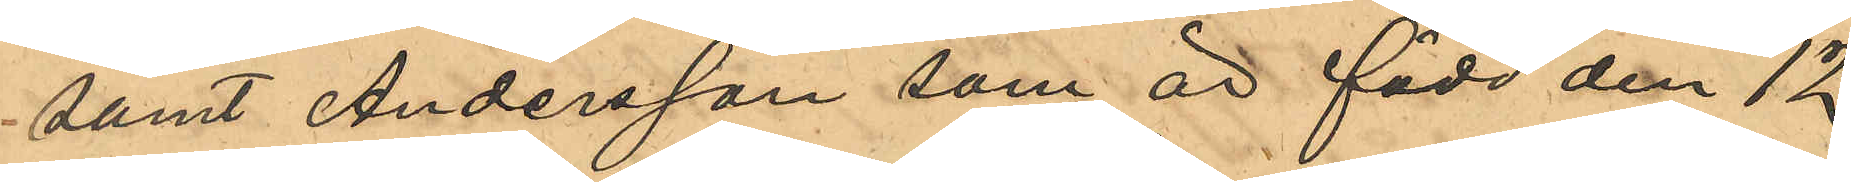samt Andersson som är född den 12
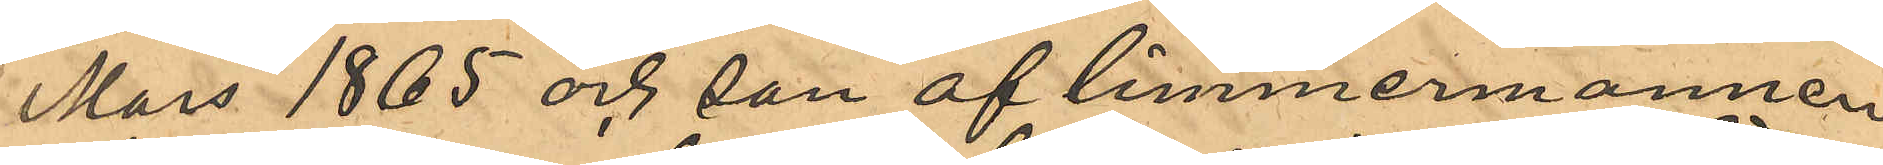Mars 1865 och son af timmermannen
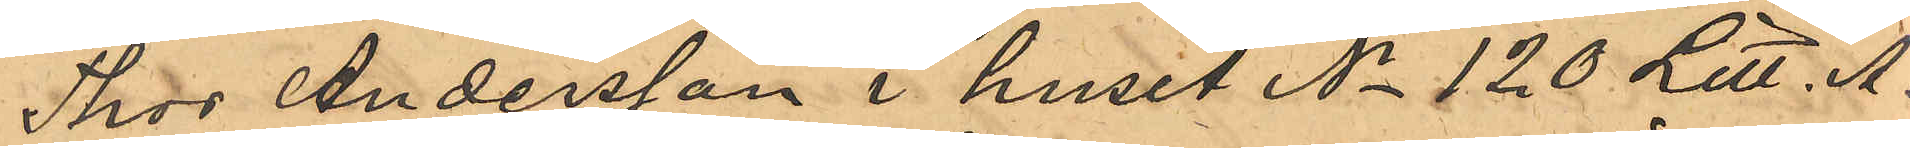Thor Andersson i huset No 120 Litt. A.
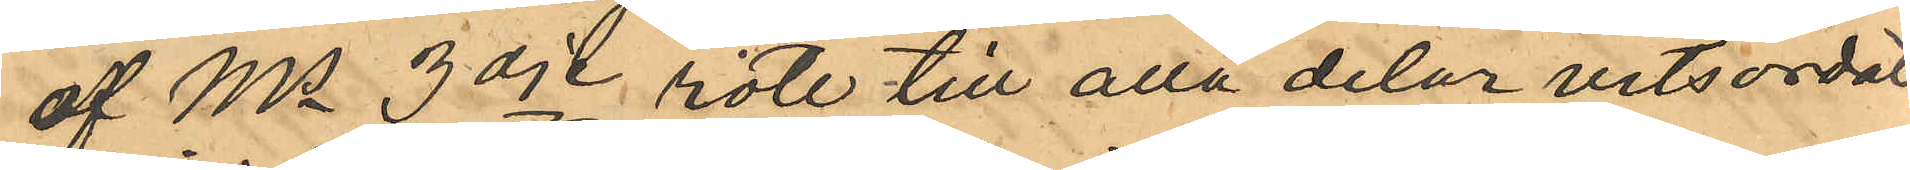af Ms 3dje rote till alla delar vitsordat
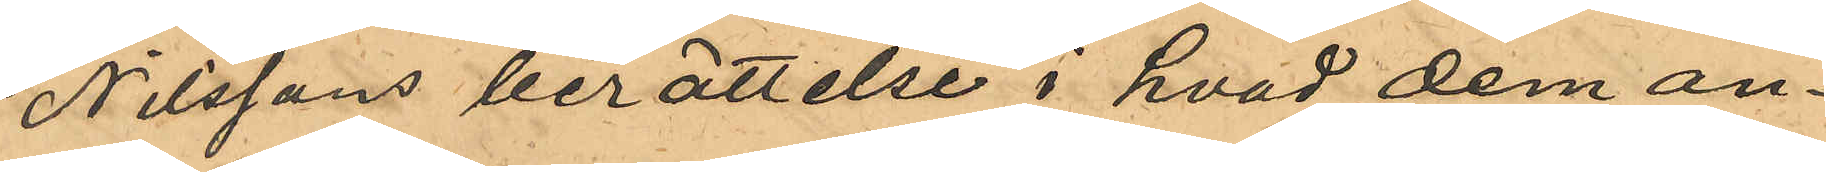Nilssons berättelse i hvad dem an¬
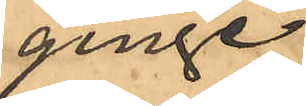ginge.
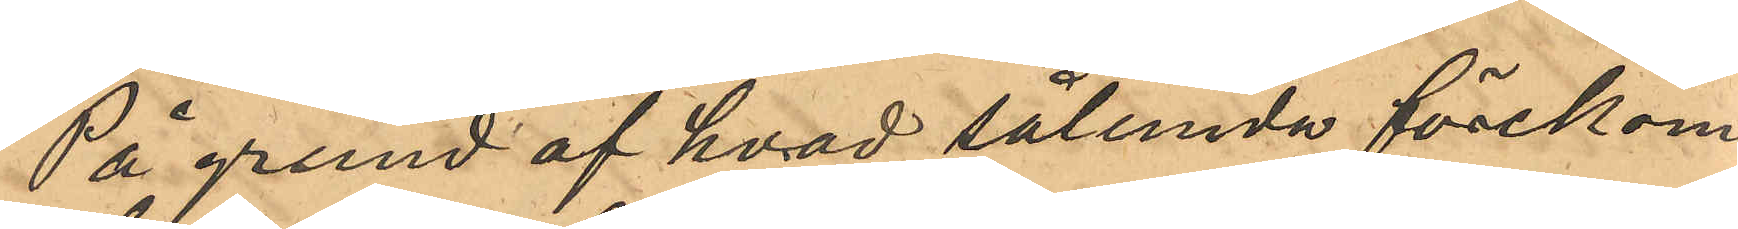På grund af hvad sålunda förekom¬
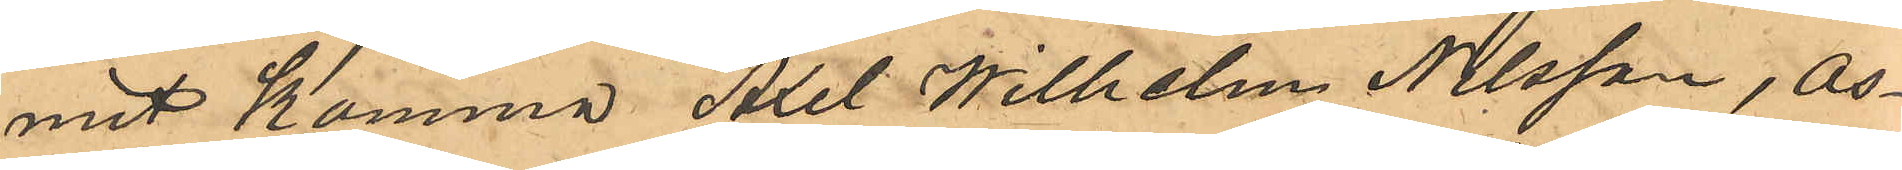mit Komma Axel Wilhelm Nilsson, Os¬
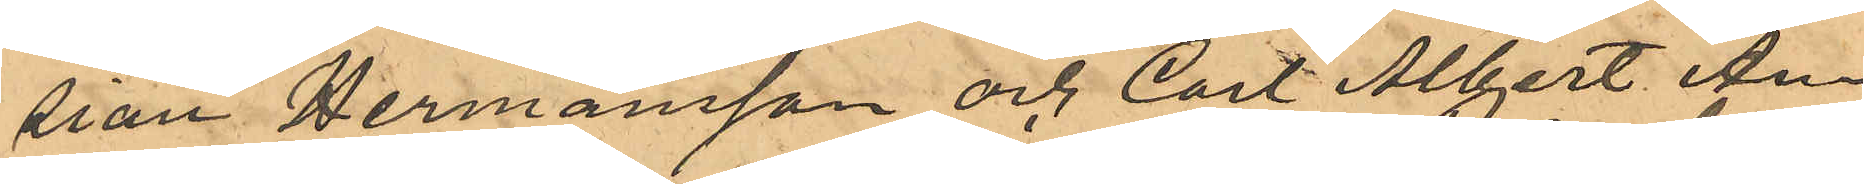sian Hermansson och Carl Albert An¬
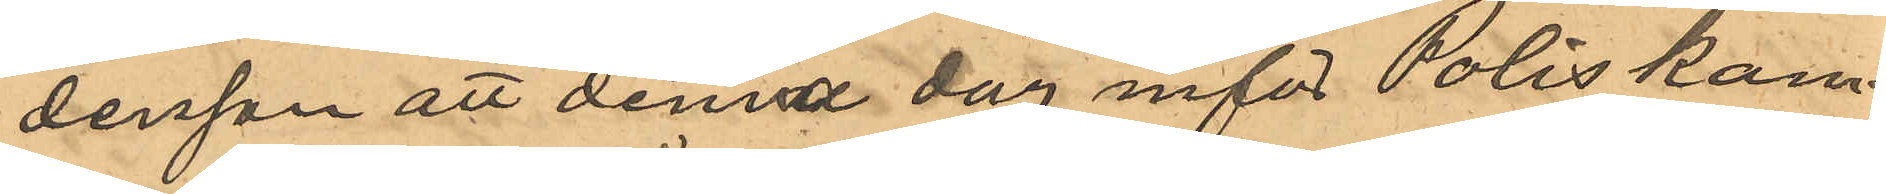dersson att denna dag inför Poliskam¬
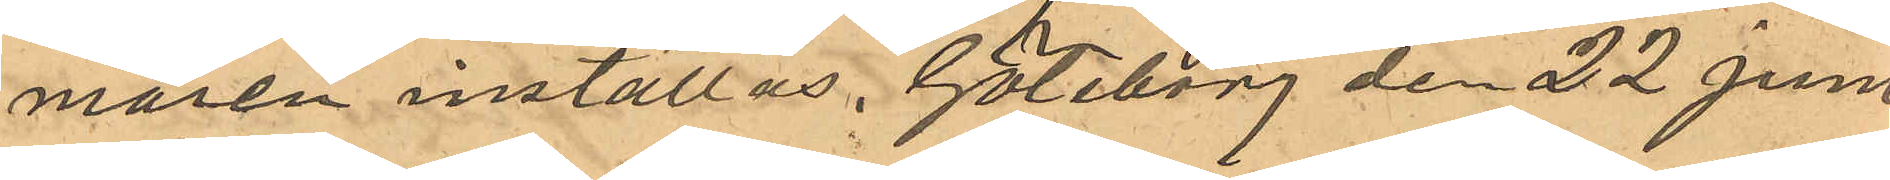maren inställas. Göteborg den 22 Juni
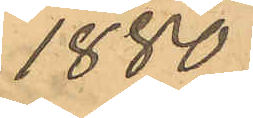1880.
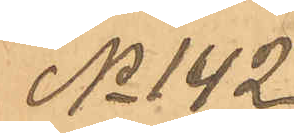No 142
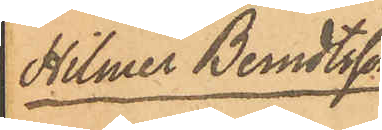Hilmer Berndtsson
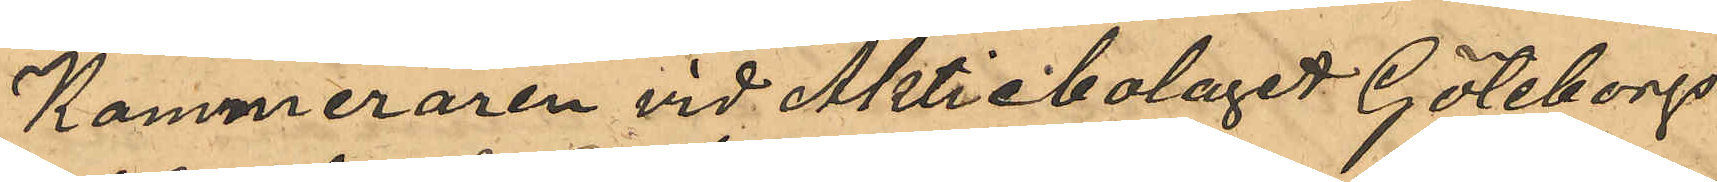Kamereraren vid Aktiebolaget Göteborgs
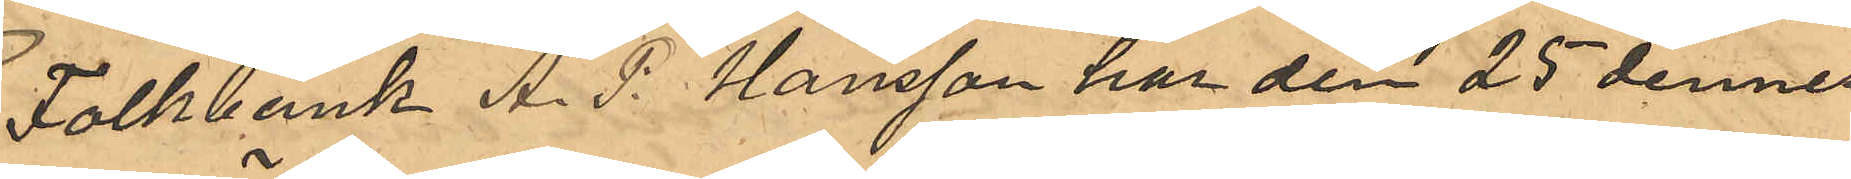Folkbank A. P. Hansson har den 25 dennes
